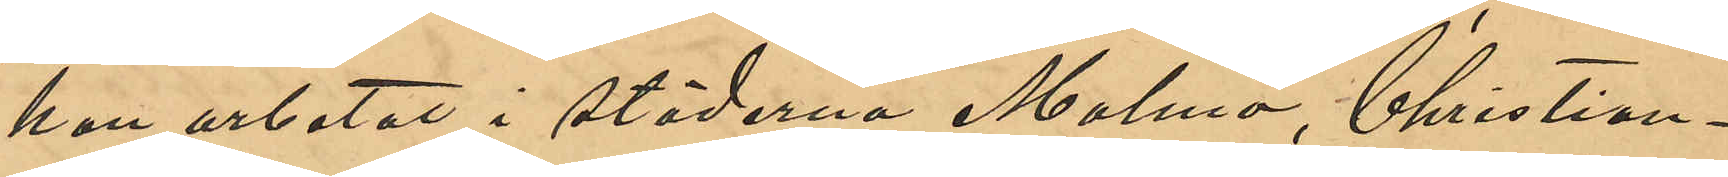han arbetat i städerna Malmö, Christian¬
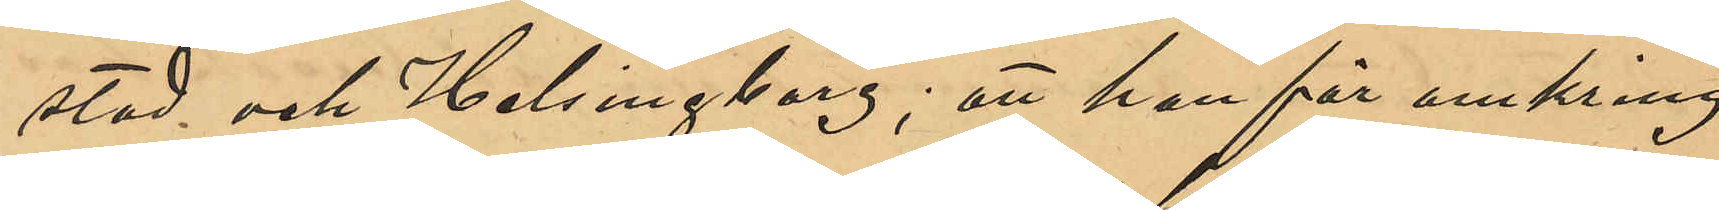stad och Helsinborg; att han för omkring
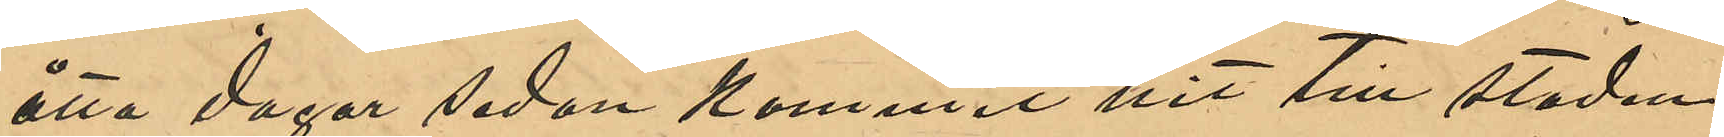åtta dagar sedan kommit hit till staden
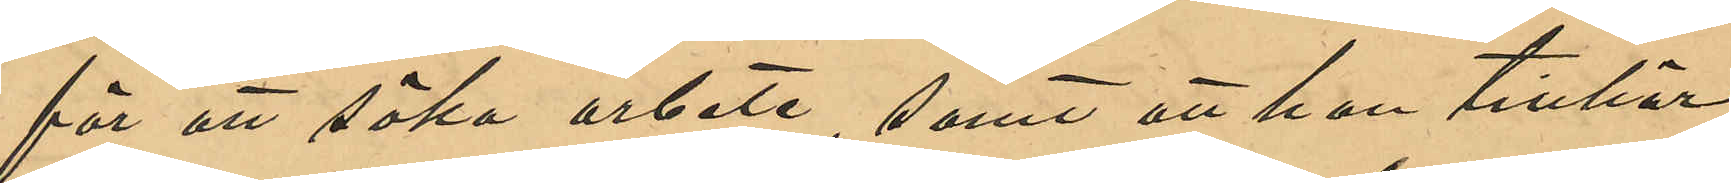för att söka arbete, samt att han tillhör
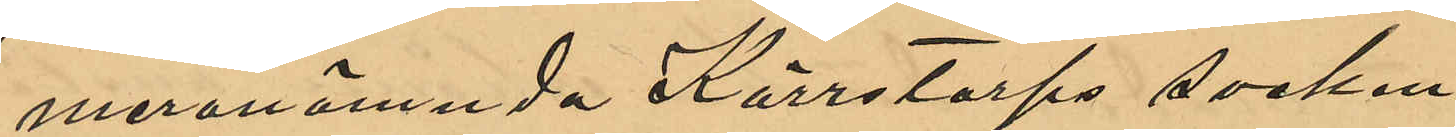meromnämnda Kärrtorps socken.
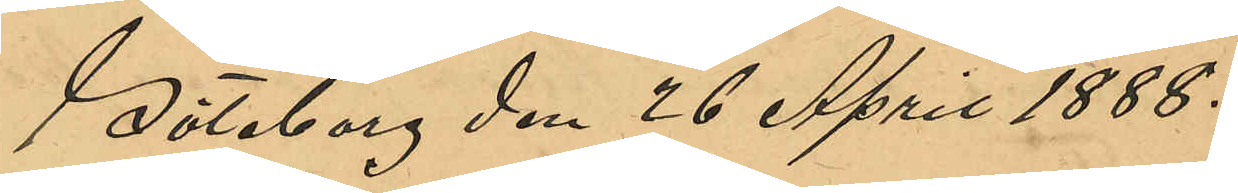Göteborg den 26 April 1888.
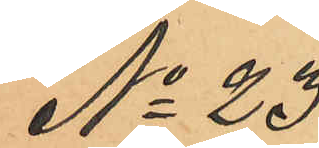No 23
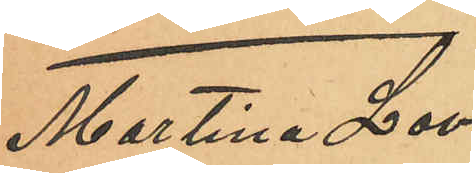Martina Lovi¬
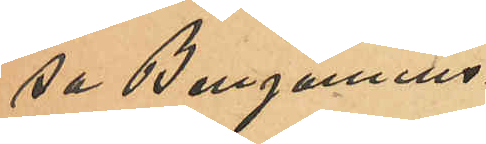sa Benjamins¬
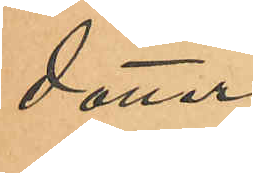dotter
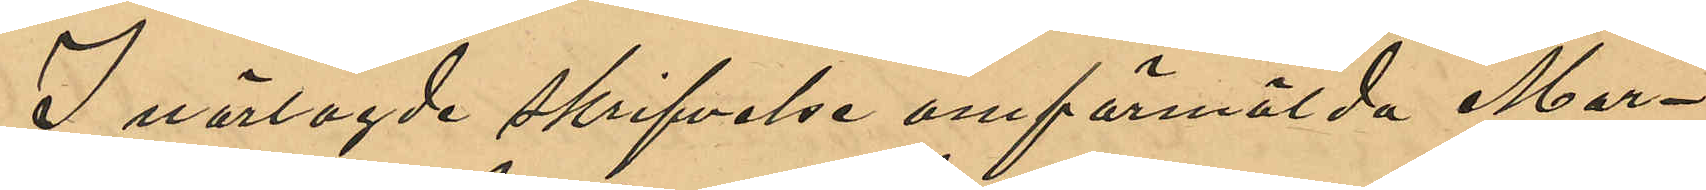I närlagde skrifvelse omförmälda Mar¬
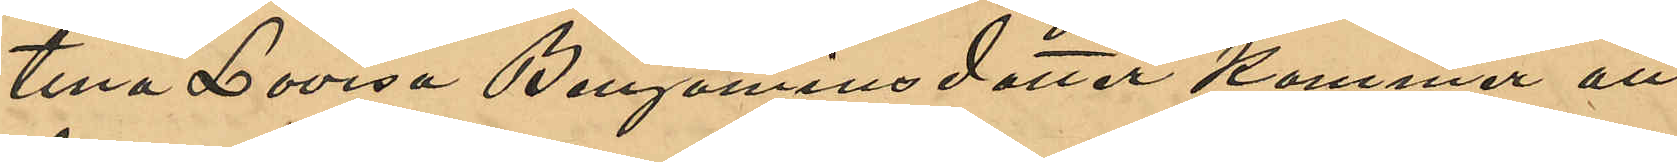tina Lovisa Benjaminsdotter kommer att
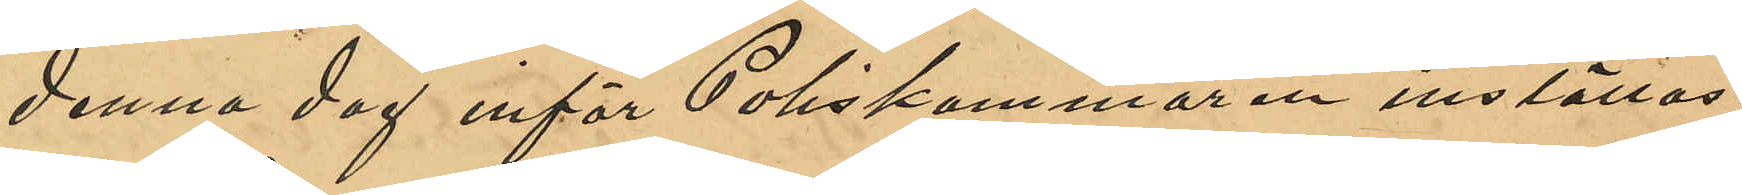denna dag inför Poliskammaren inställas.
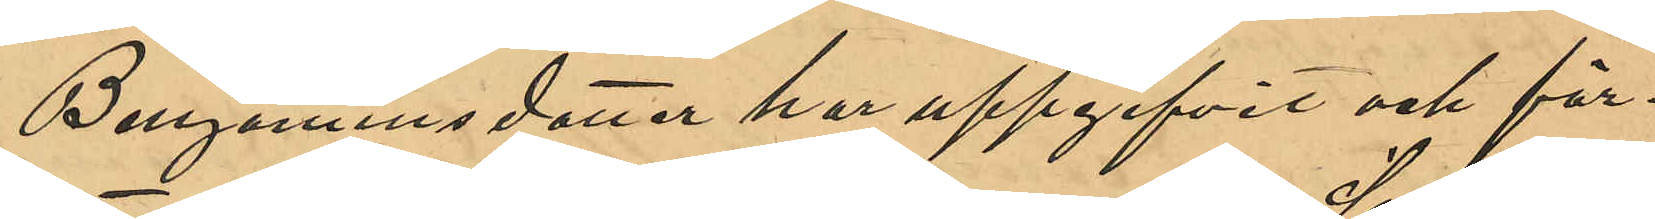Benjaminsdotter har uppgifvit och för¬
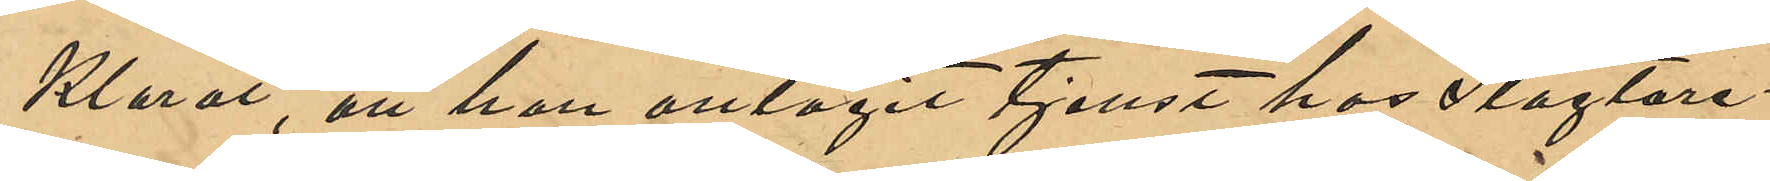klarat, att hon antagit tjenst hos Slagtare¬
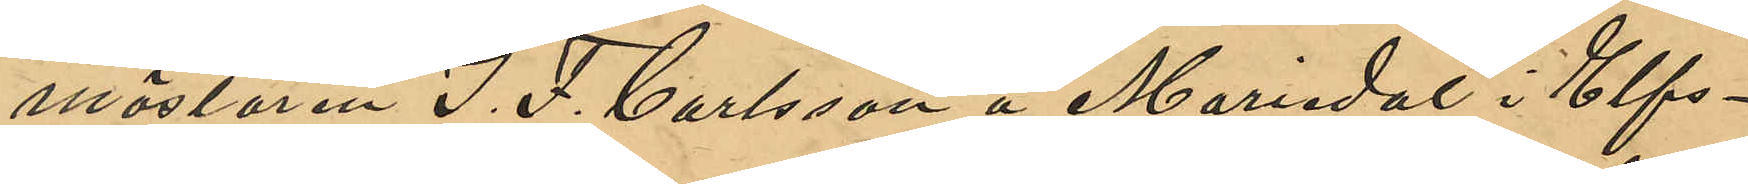mästaren J. F. Carlsson å Mariedal i Elfs¬
